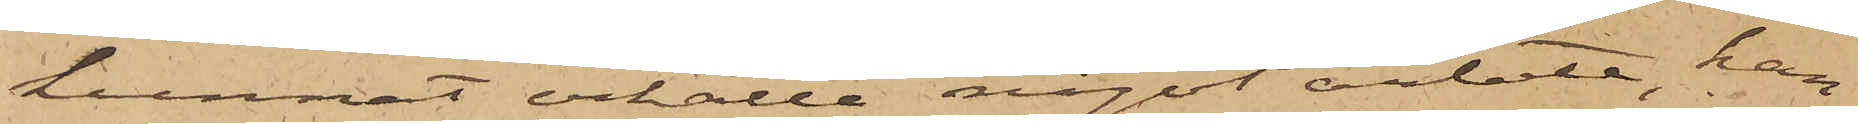kunnat erhålla något arbete, han
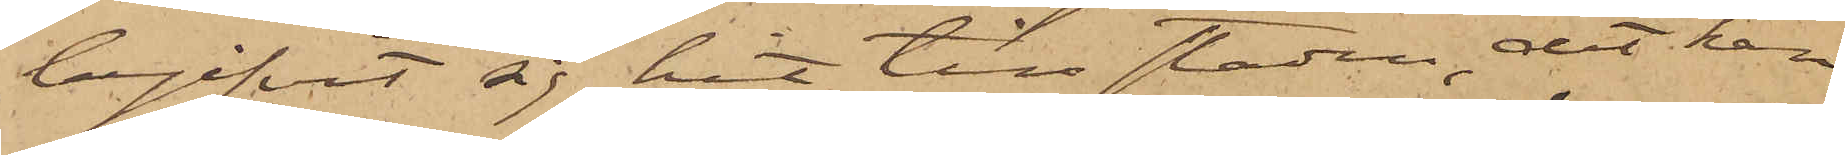begifvit sig hit till staden, dit han
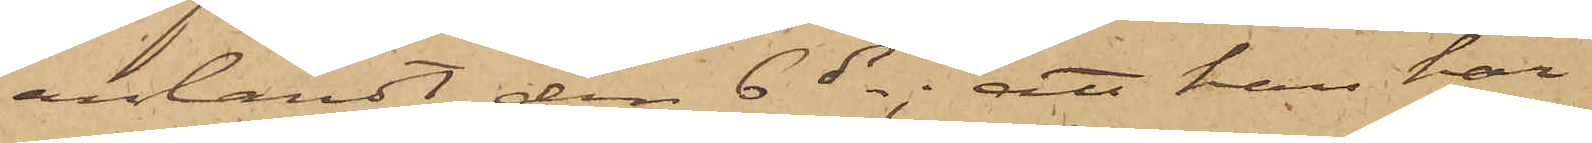anländt den 6 ds; att han har
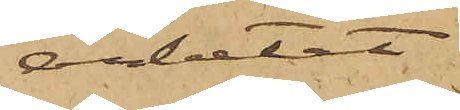arbetat
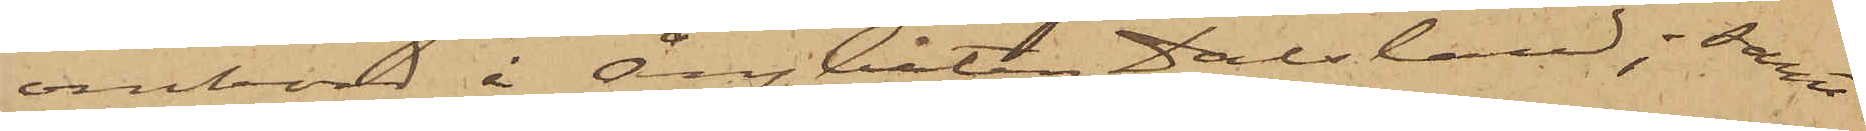ombord å Ångbåten Dalsland; samt
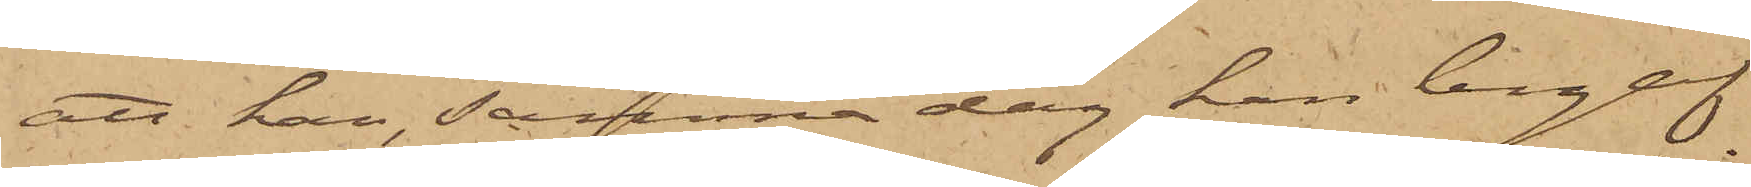att han, samma dag han begaf
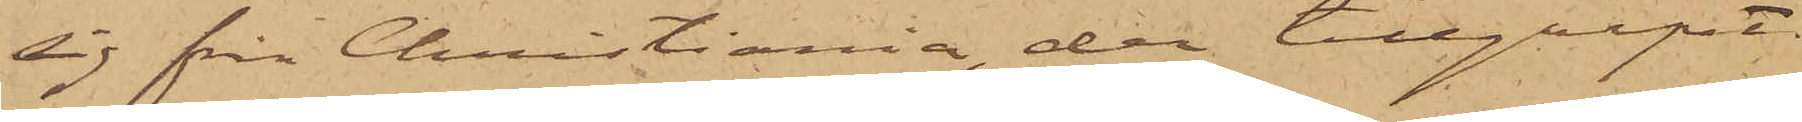sig från Christiania, der tillgripit
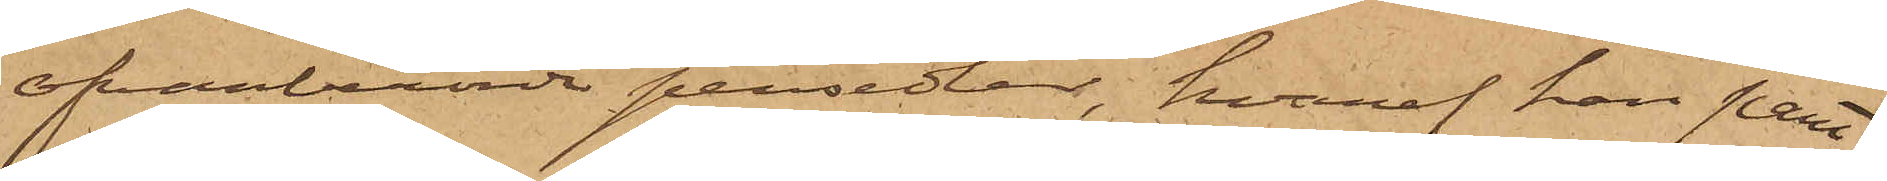ofvanberörde persedlar, hvaraf han pant¬
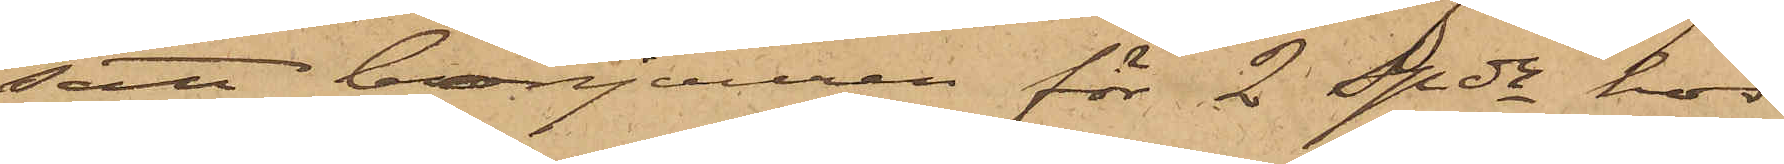satt bonjouren för 2 spdr hos
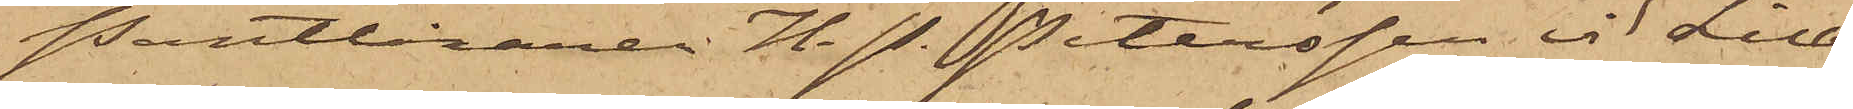Pantlånaren H. P. Petersson vid Lilla
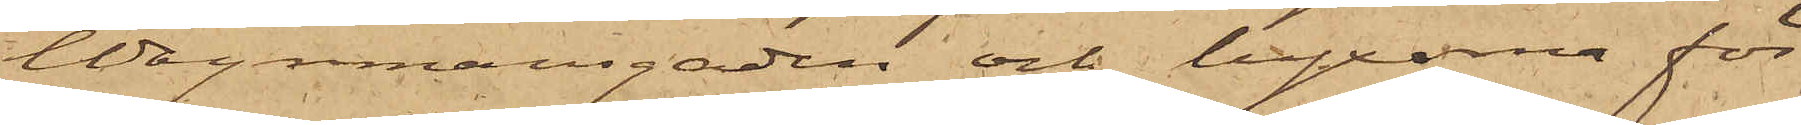Wagnmansgaden och byxorna för
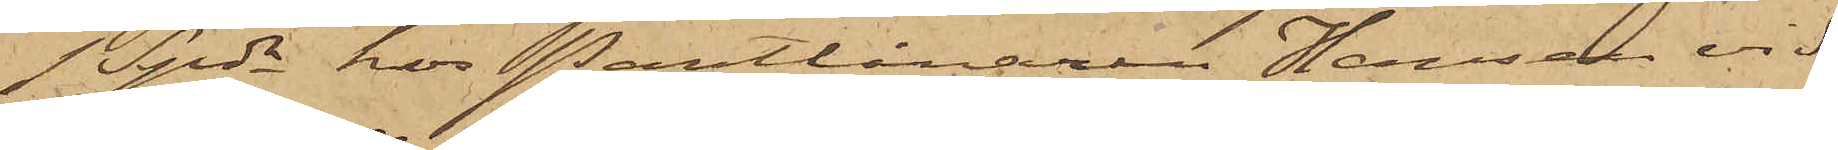1 Spdr hos Pantlånaren Hansson vid
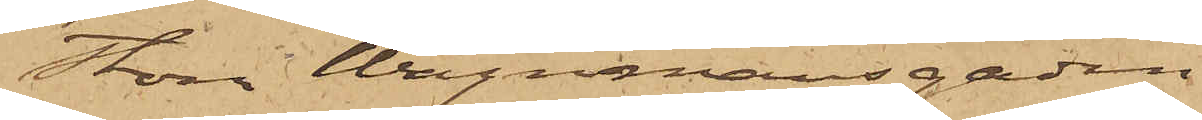Stora Wagnmansgaden.
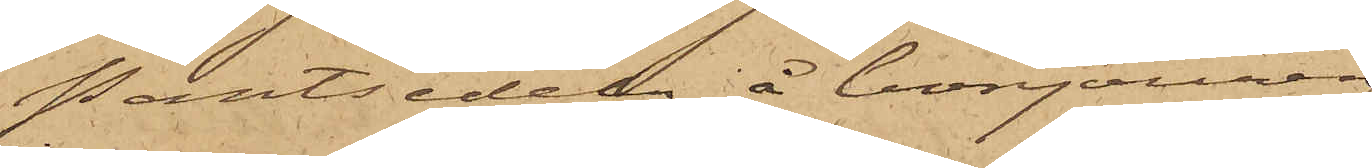Pantsedeln å bonjouren
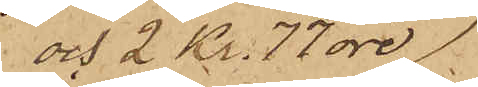och 2 Kr. 77 öre, 
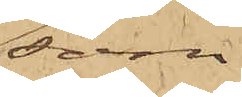som
